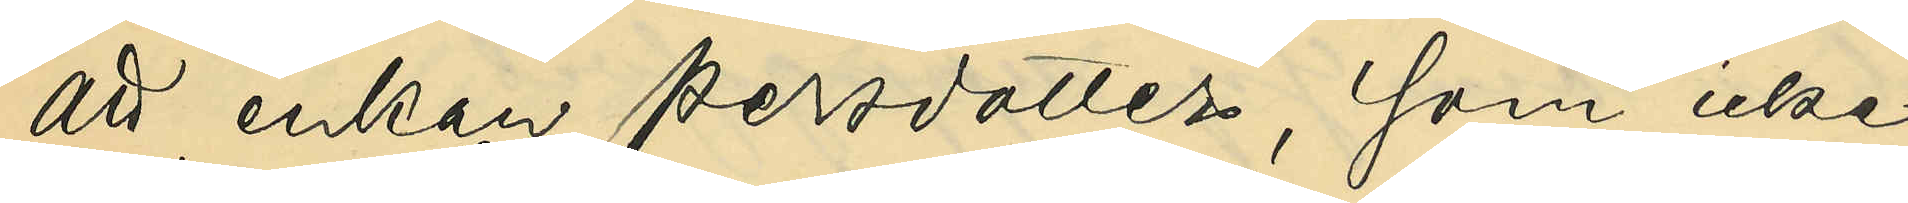att enkan Persdotter, som icke
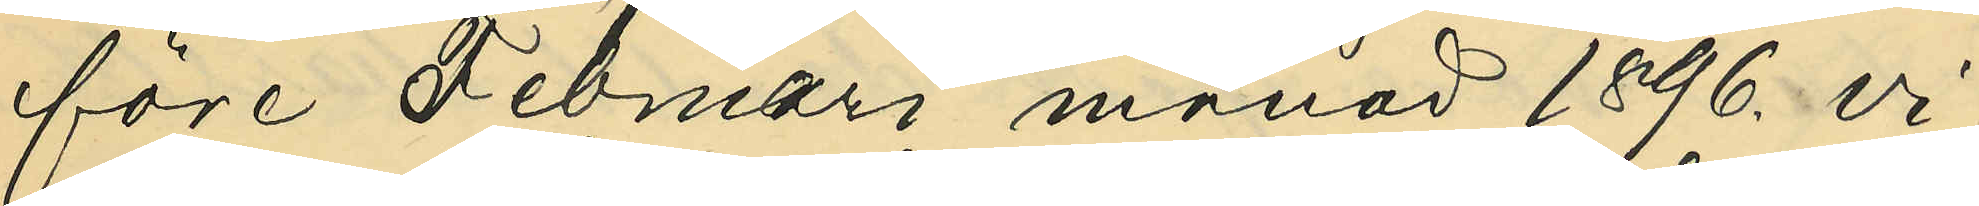före Februari månad 1896. vi¬
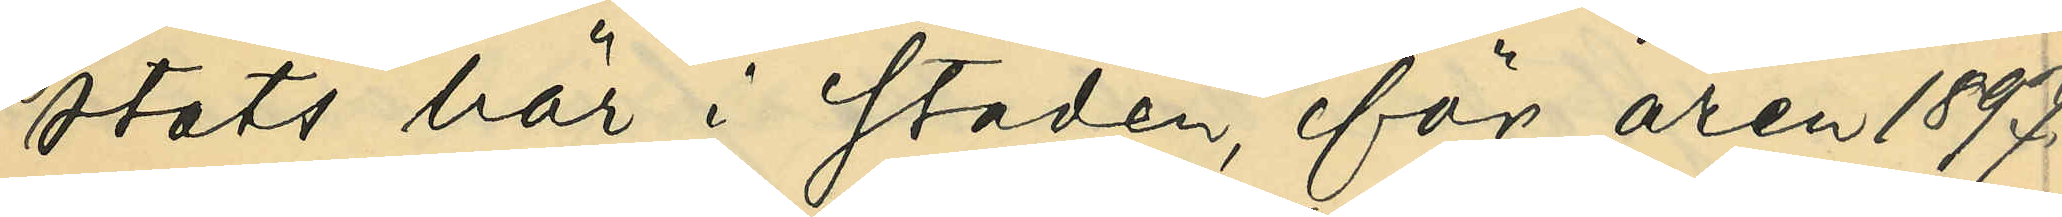stas här i staden, för åren 1897.
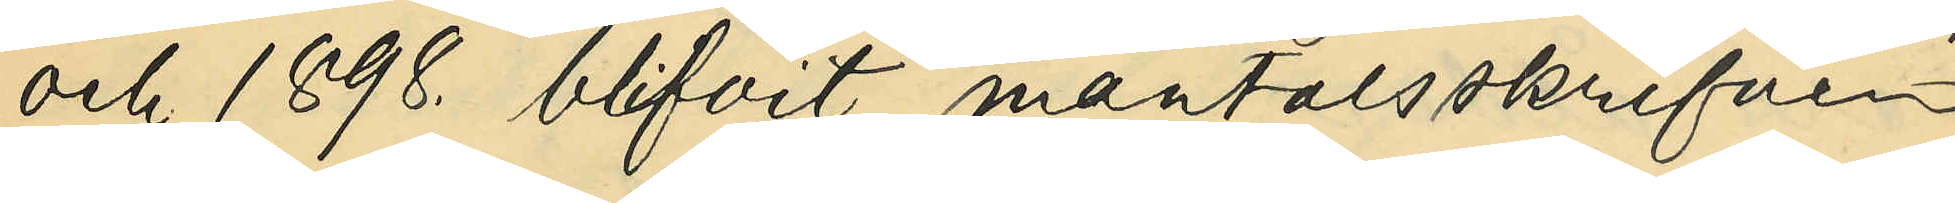och 1898. blifvit mantalsskrifven
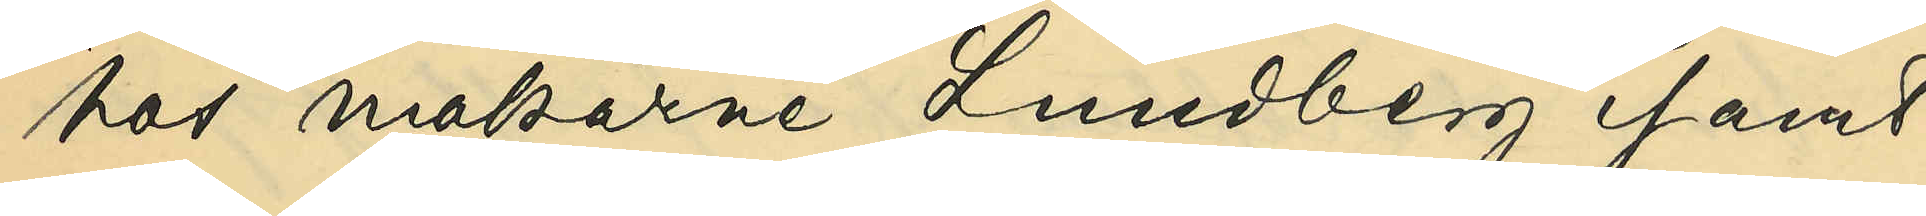hos makarne Lundberg samt
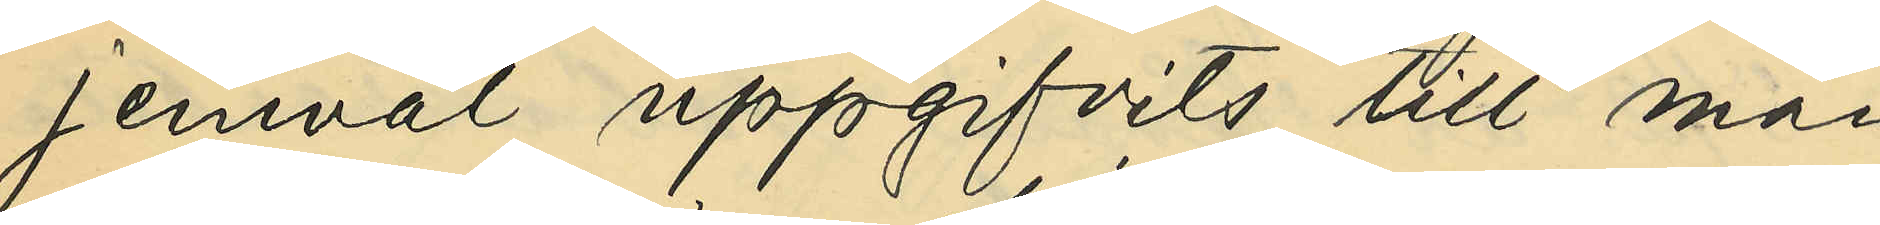jemväl uppgifvits till man¬
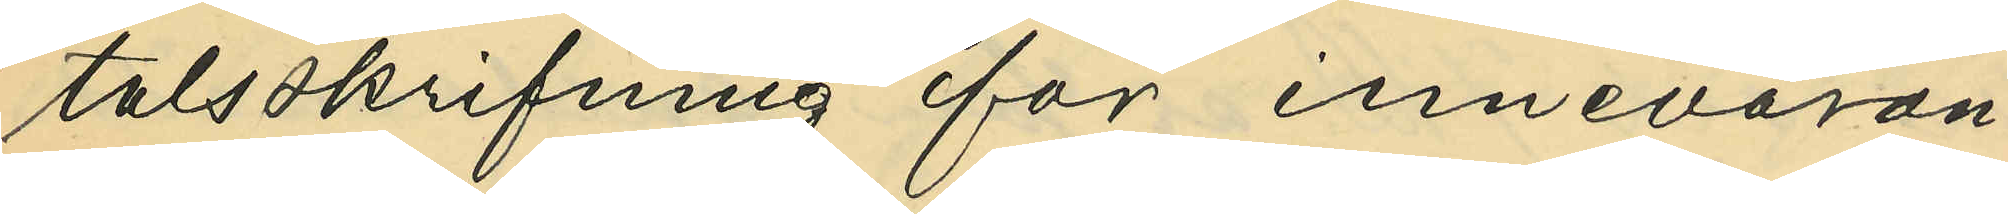talsskrifning för innevaran¬
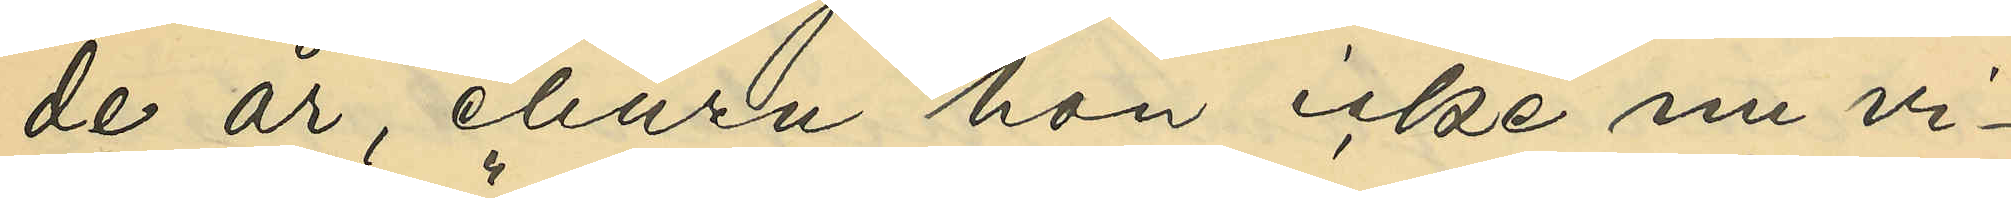de år, ehuru hon icke nu vi¬
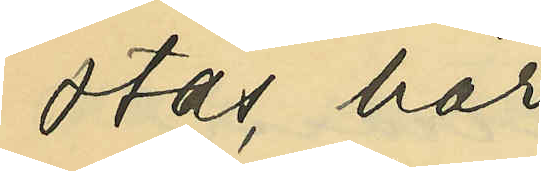stas här.
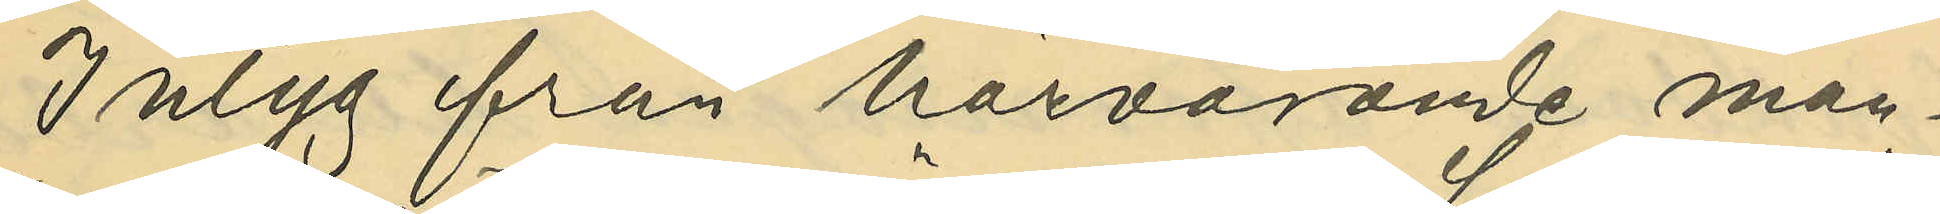Intyg från härvarande man¬
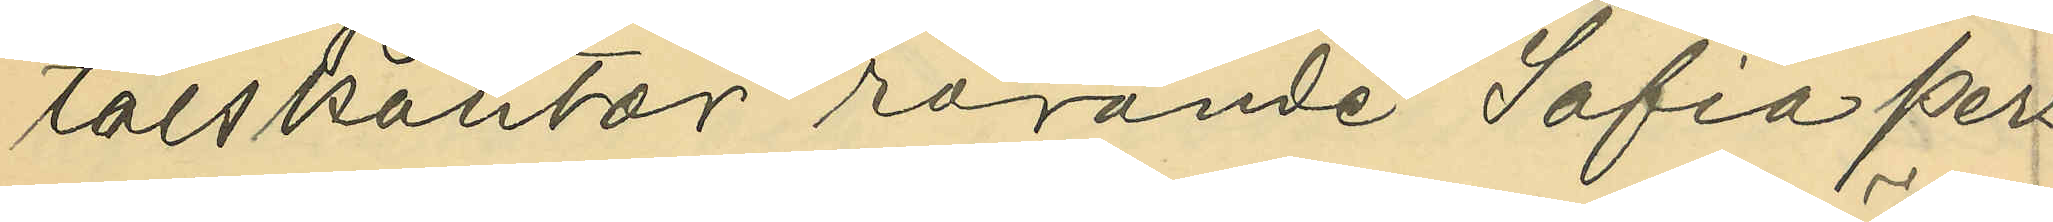talskontor rörande Sofia Pers¬
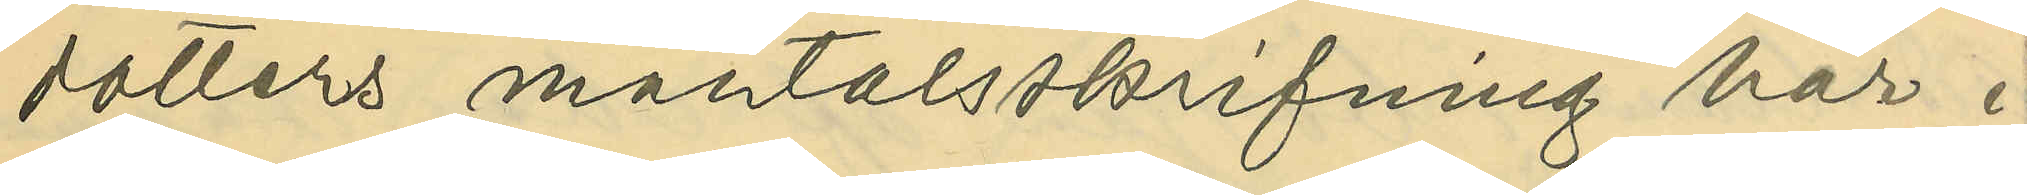dotters mantalsskrifning här i
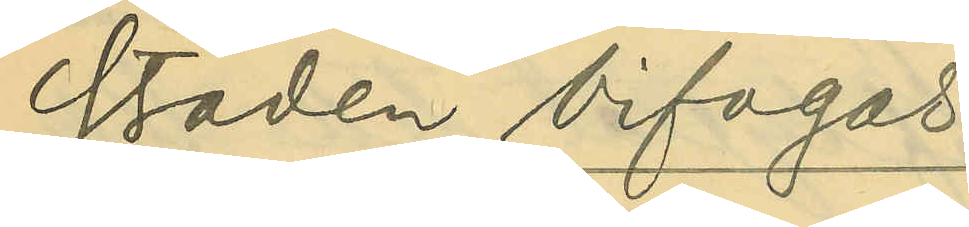staden bifogas.
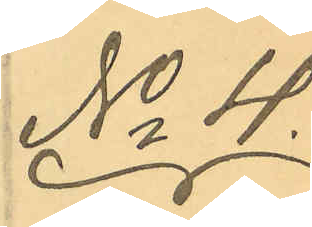No 4.
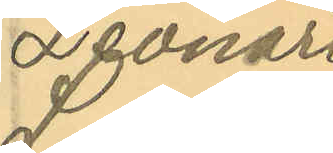Leonard
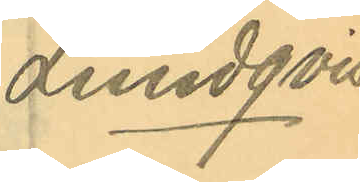Lundqvist
